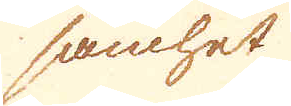samhet
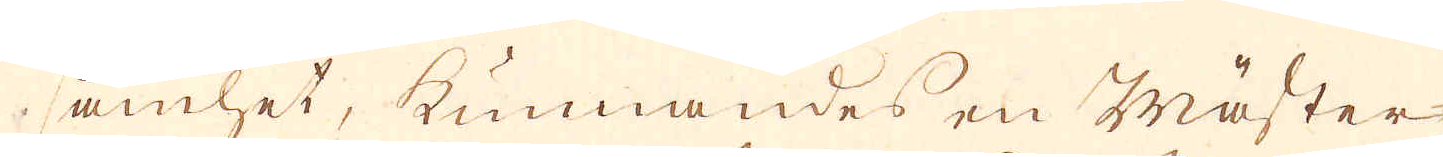samhet, kunnandes en Mäster-
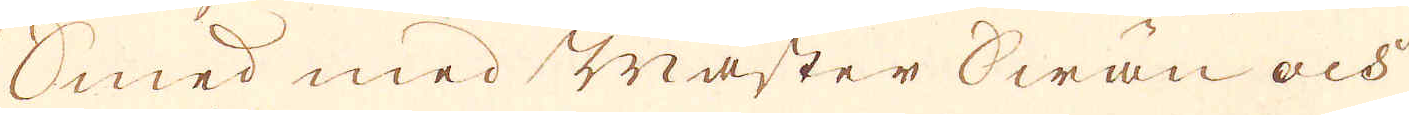Smed med Mäster Swän och
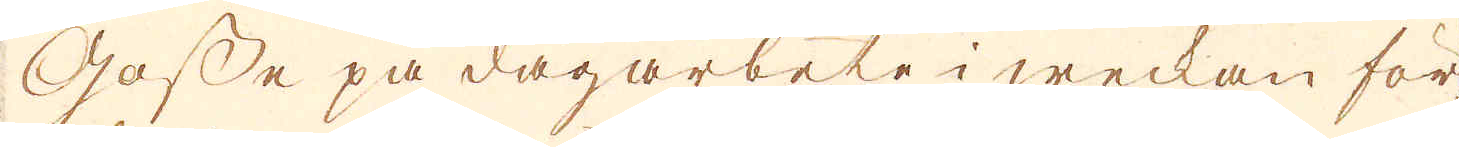Gosse på dagarbete i weckan för
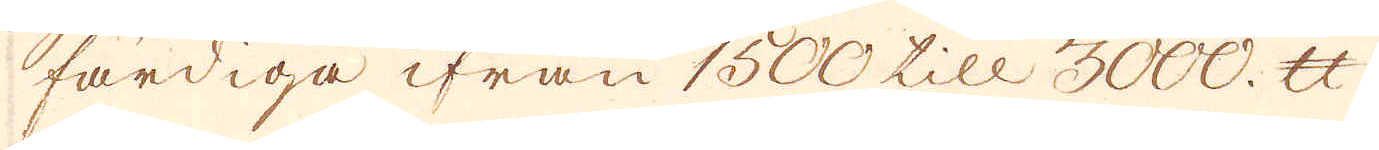färdiga ifrån 1500 till 3000. skålpund,
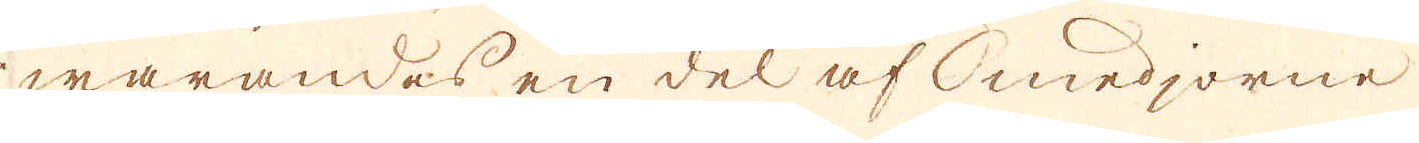warandes en del af Smedjorne
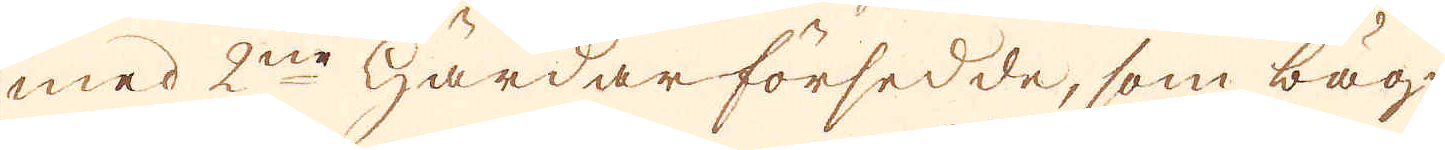med 2ne Härdar försedde, som bäg-
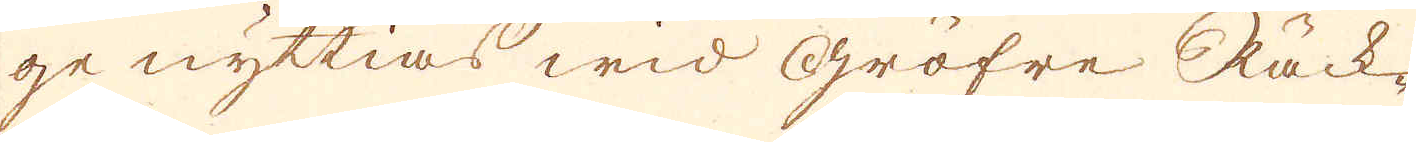ge nyttias wid Gröfre Räck-
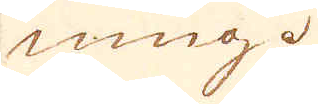ning.
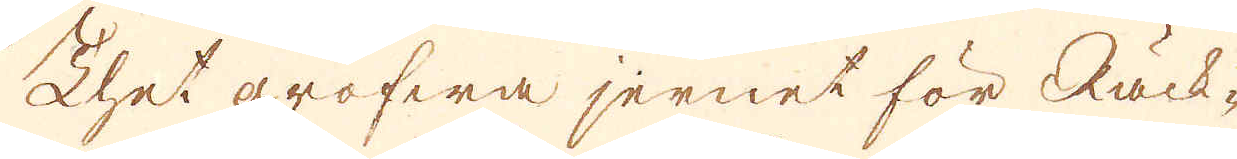Thet grofwa jernet för Räck-
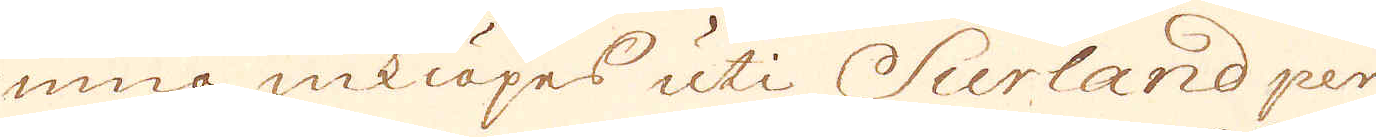ning inkiöpes uti Surland per
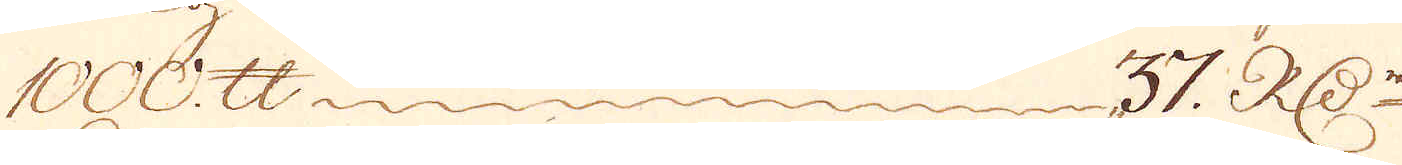1000 skålpund 37 R:Dr
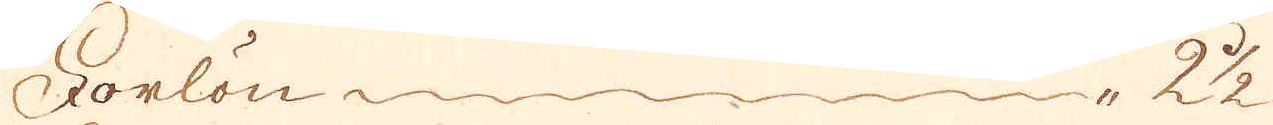Forlön 2 1/2.
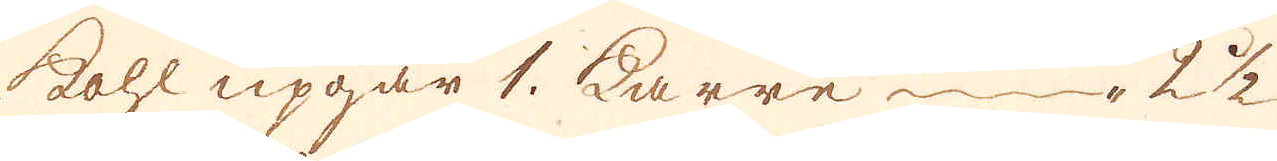kohl upgår 1. karre 2 1/2
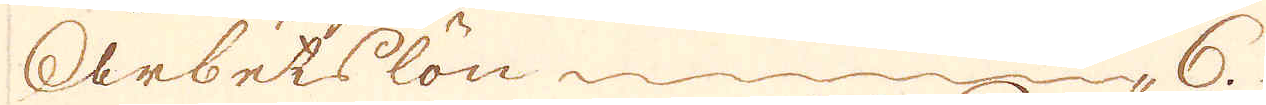Arbetslön 6.
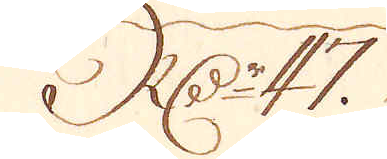R:Dr 47.
